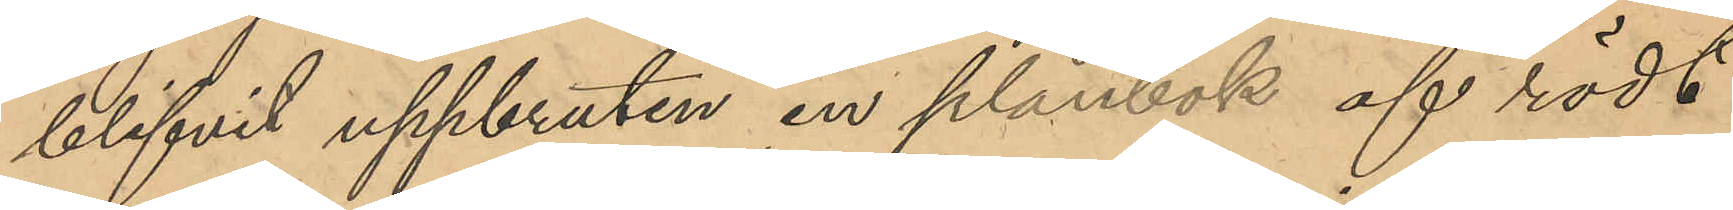blifvit uppbruten en plånbok af rödt
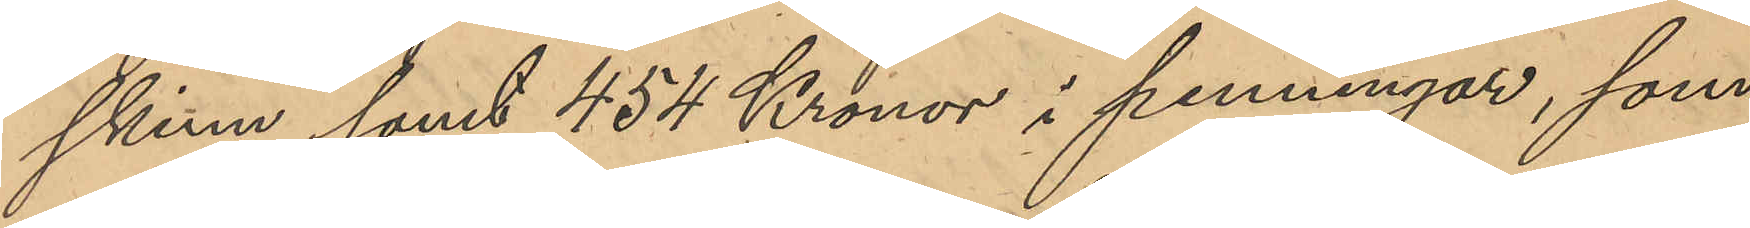skinn samt 454 Kronor i penningar, som
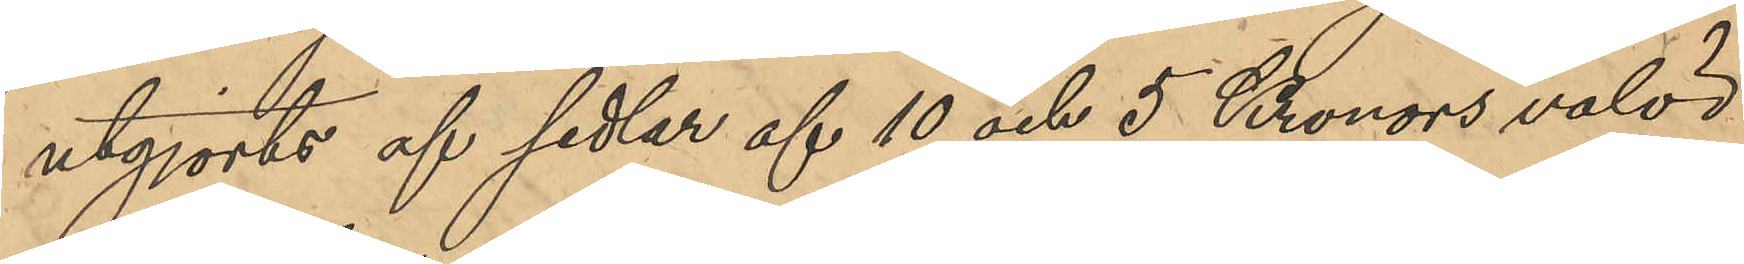utgjorts af sedlar af 10 och 5 Kronors valör
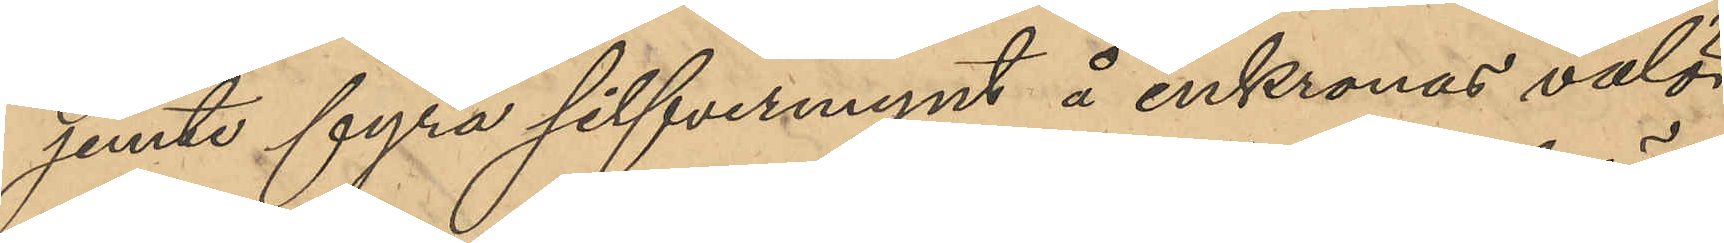jemte fyra silfvermynt å enkronas valör
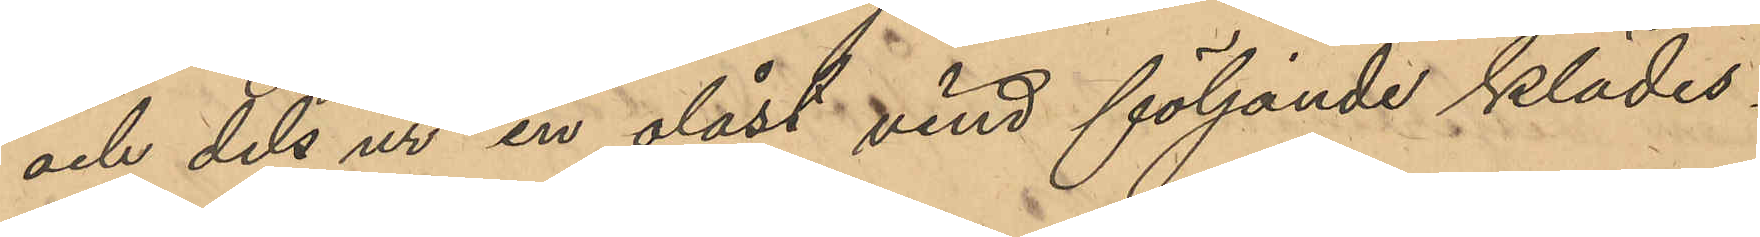och dels ur en olåst vind följande klädes¬
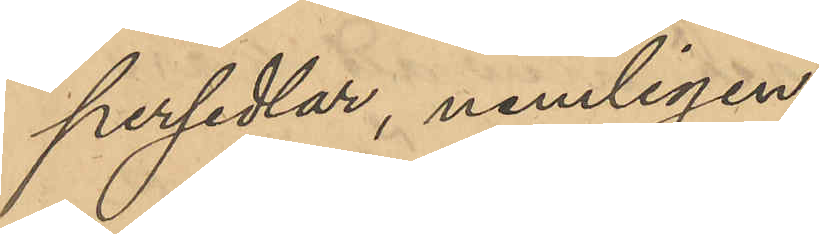persedlar, nemligen:
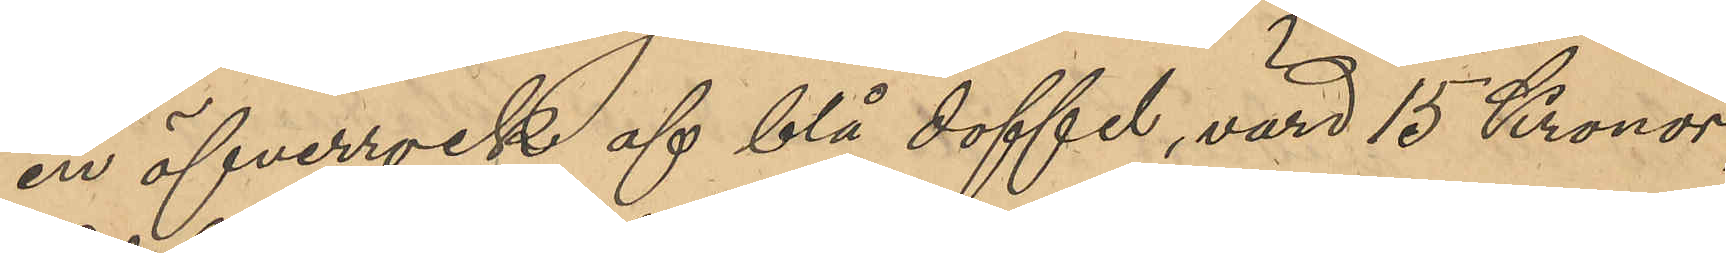en öfverrock af blå doffel, värd 15 Kronor,
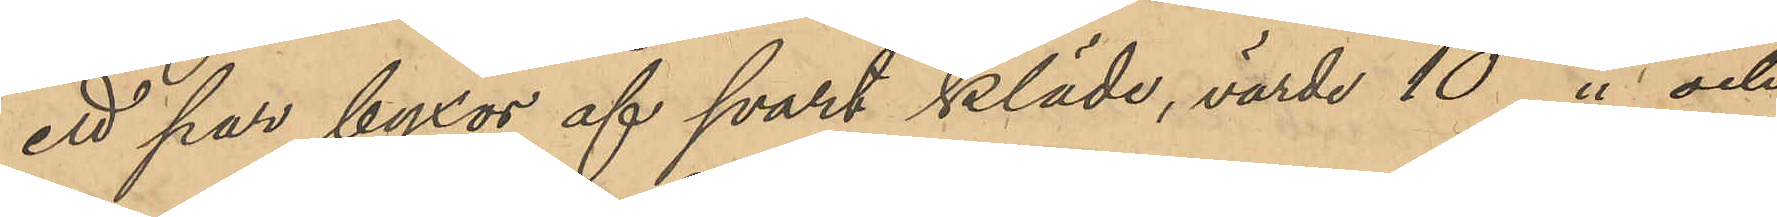ett par byxor af svart kläde, värde 10 " och
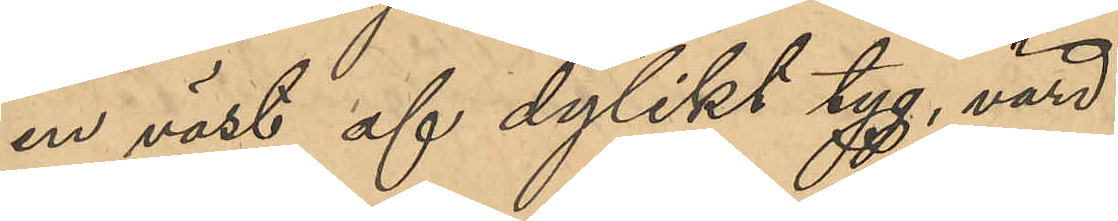       en väst af dylikt tyg, värd
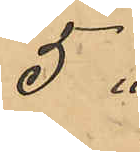5 "
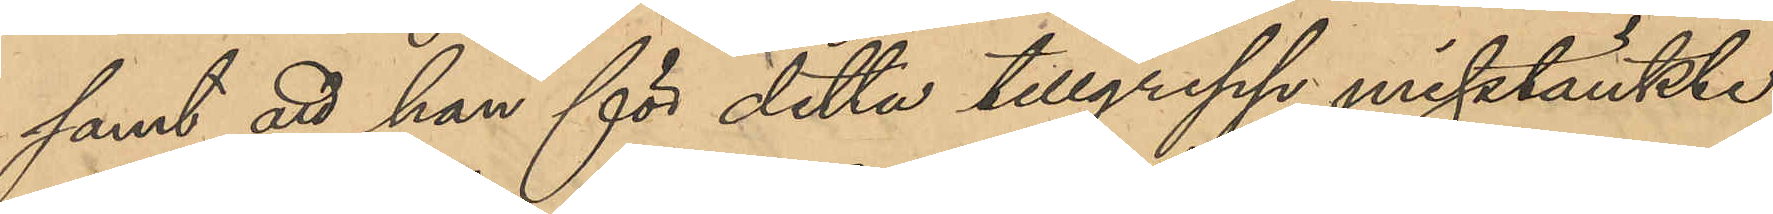samt att han för detta tillgrepp misstänkte
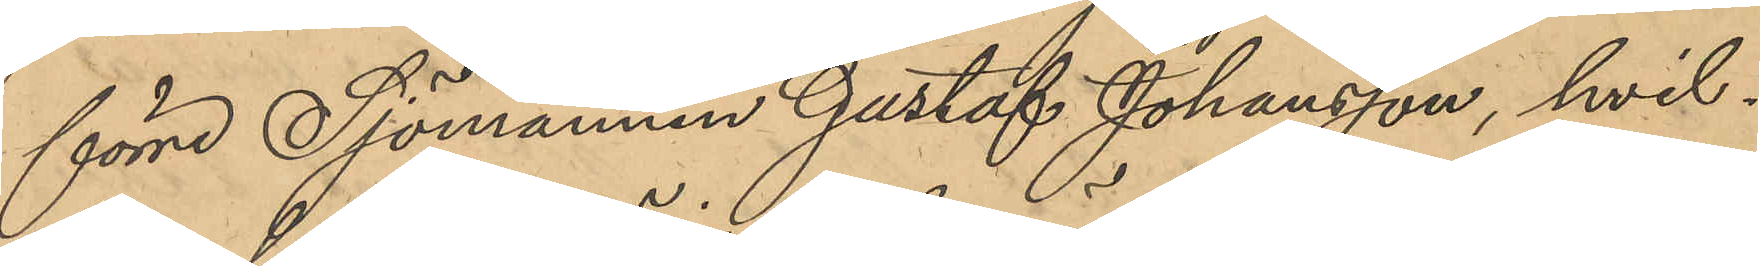förre Sjömannen Gustaf Johanson, hvil¬
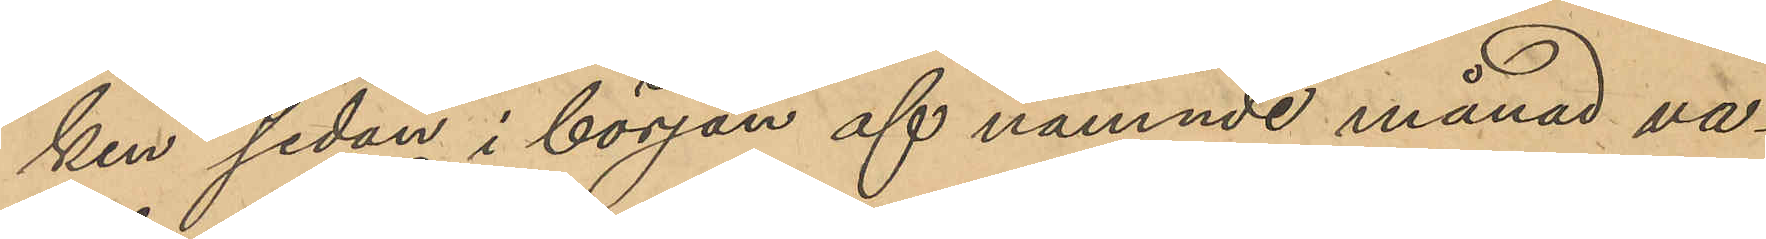ken sedan i början af nämnde månad va¬
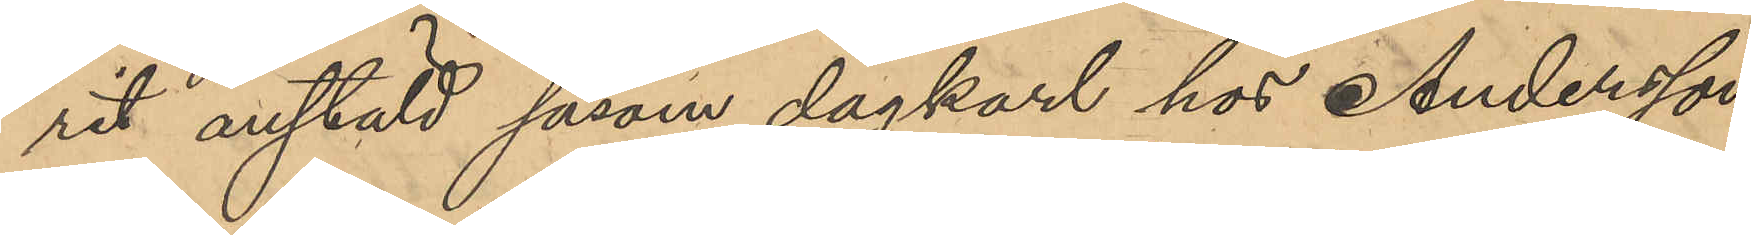rit anstäld såsom dagkarl hos Andersson,
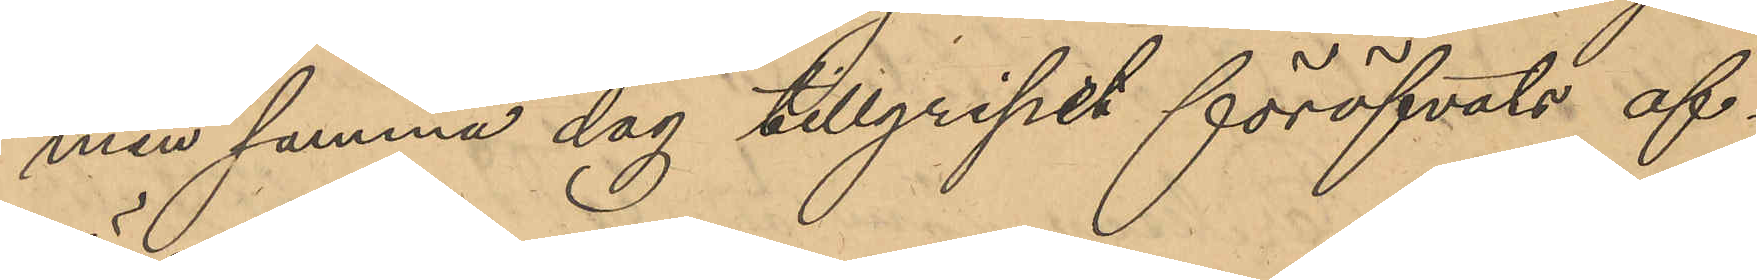men samma dag tillgripet föröfvats af¬
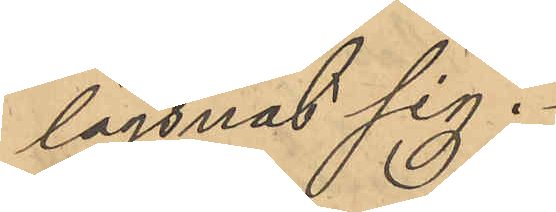lägsnat sig.
